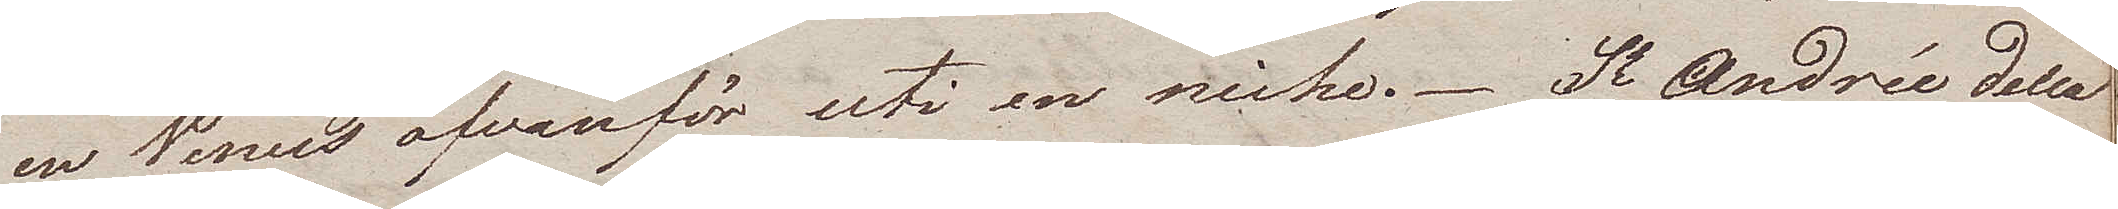en Venus ofvanför uti en niche. St Andrée della
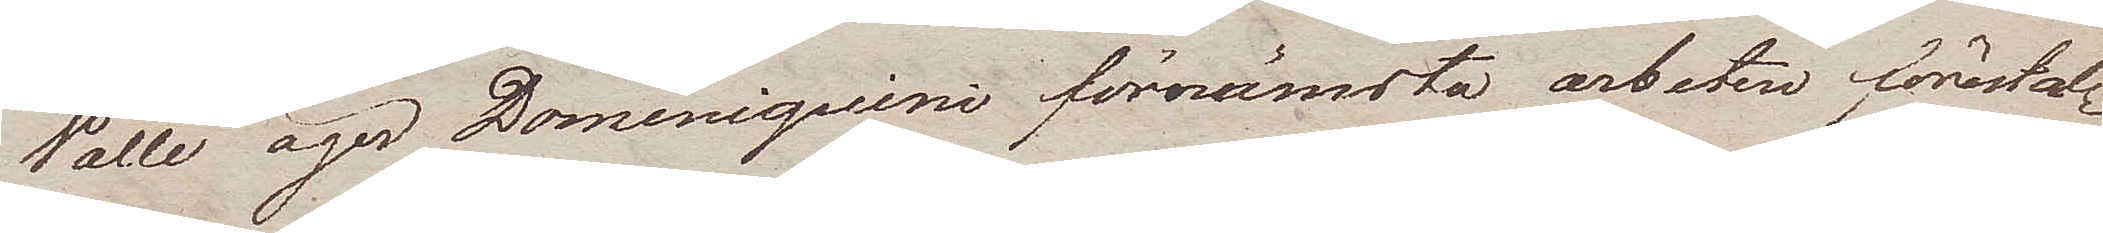Valle äger Dominiquini förnämsta arbeten förestäl¬
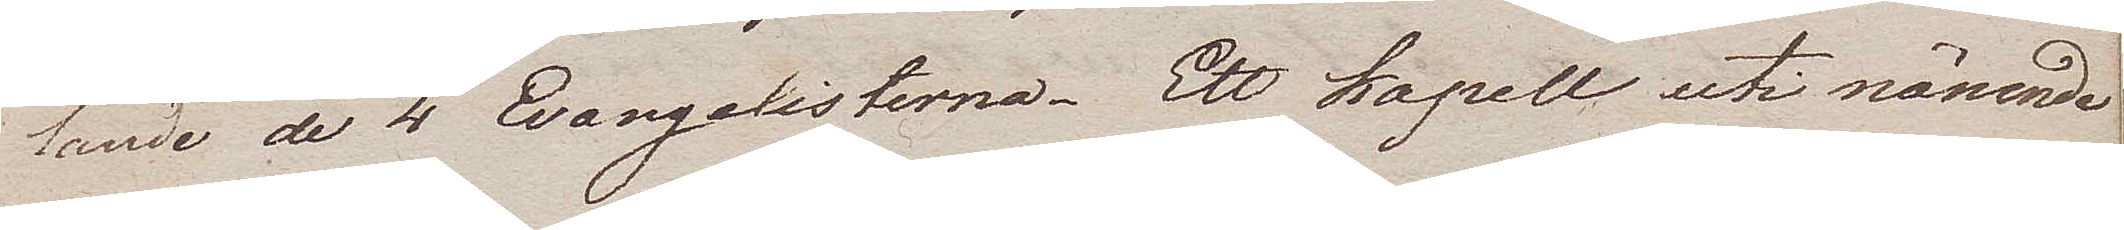lande de 4 Evangelisterna. Ett kapell uti nämnde
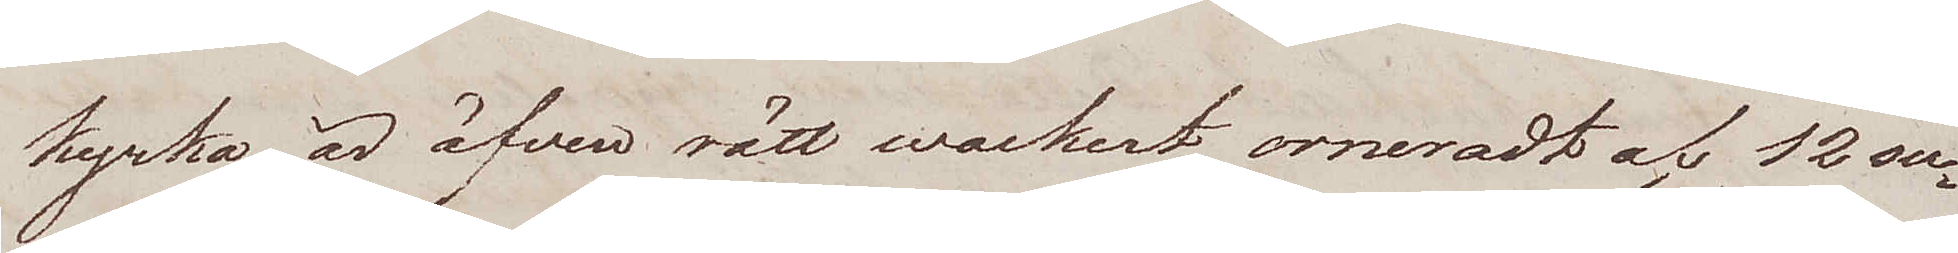kyrka är äfven rätt wackert, orneradt af 12 su¬
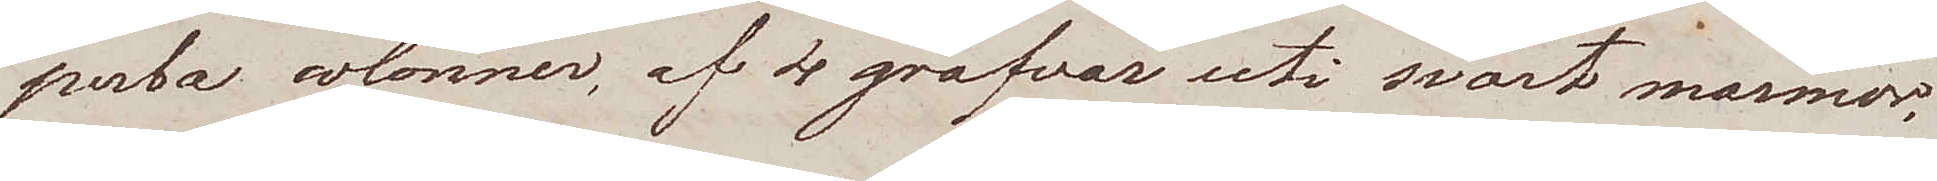perba colonner, af 4 grafvar uti svart marmor,
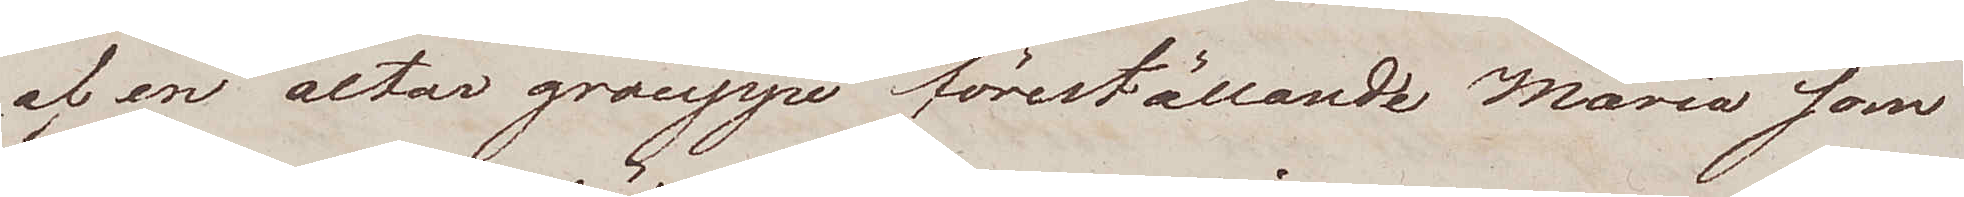af en altar grouppe föreställande Maria som
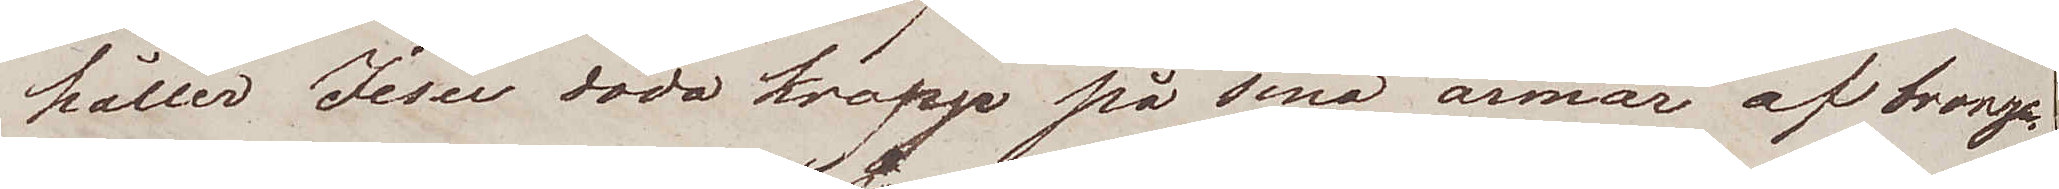håller Jesu dödo kropp på sina armar af bronze.
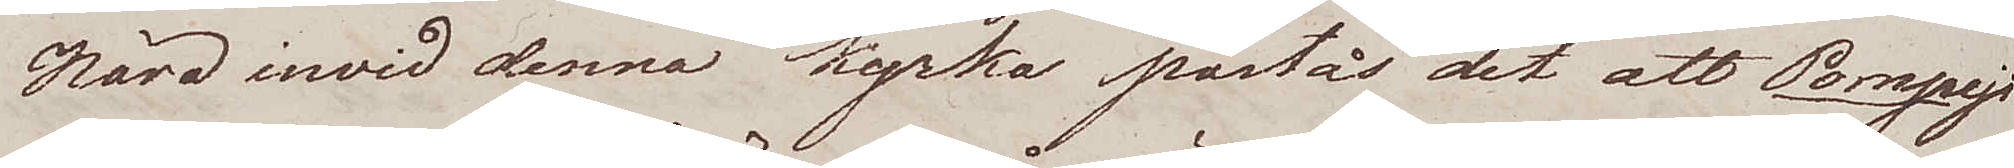Nära inwid denna kyrka påstås det att Pompeji
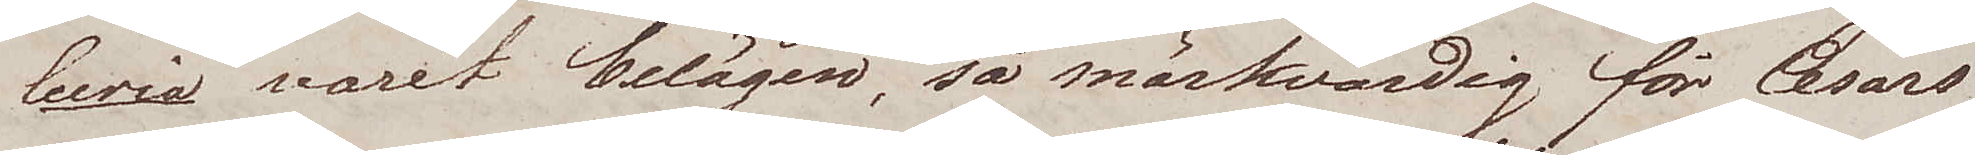lecria varit belägen, så märkvärdig för Cesars
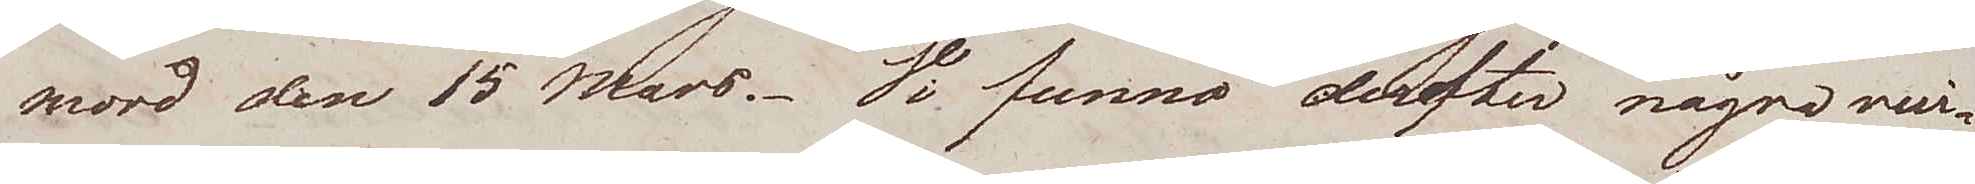mord den 15 Mars. Vi funno derefter några rui¬
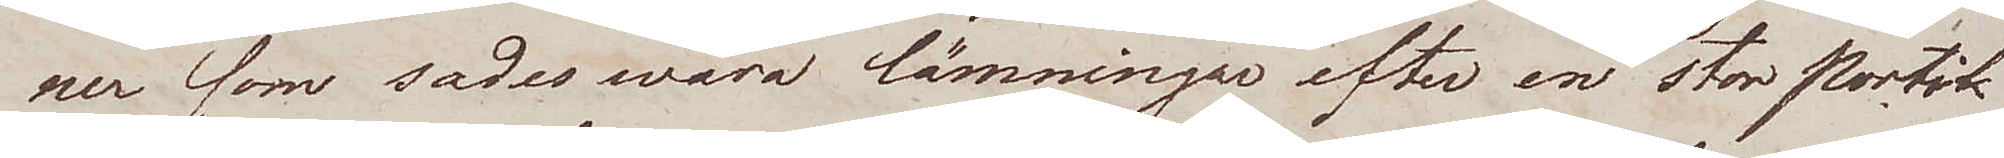ner som sades wara lämningar efter en stor Portik
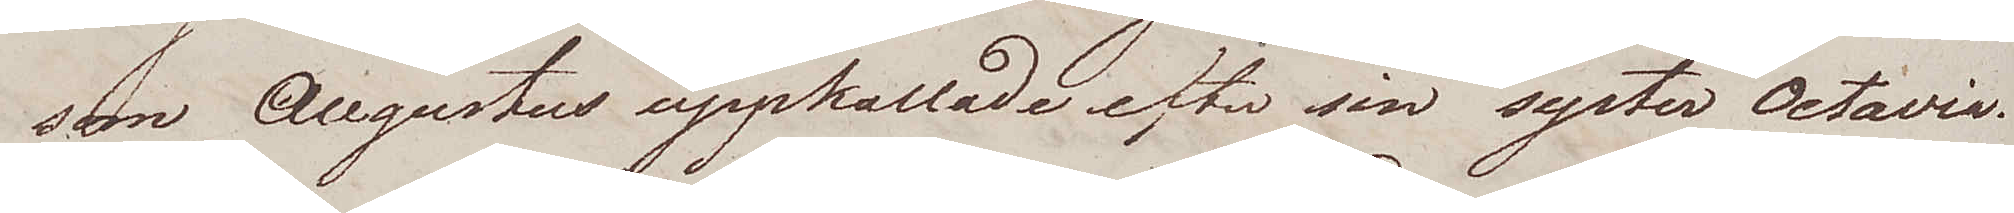som Augustus uppkallade efter sin syster Octavia.
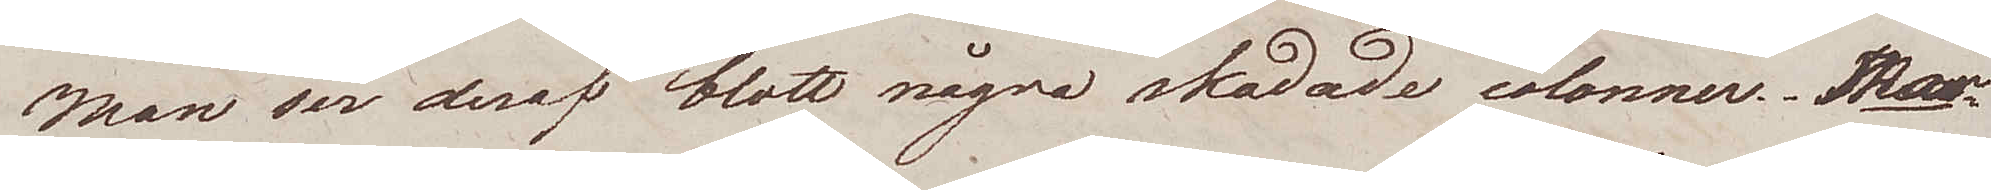Man ser deraf blott några skadade colonner. Ma¬
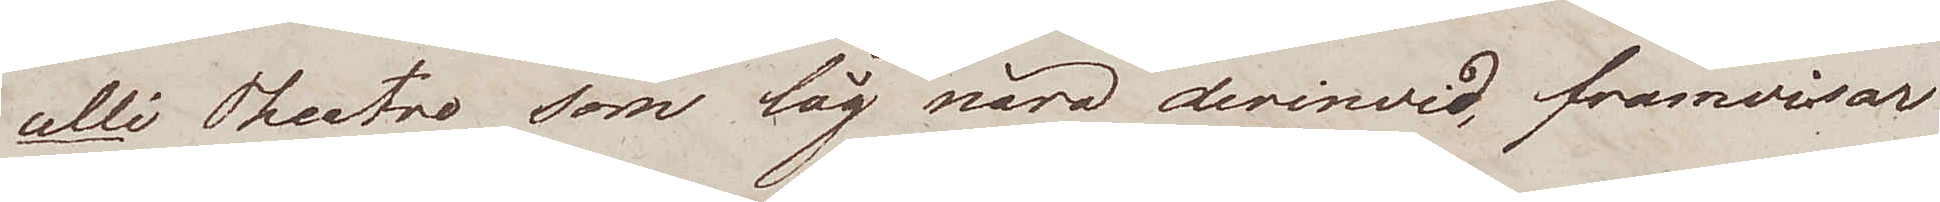celli Theatro som låg nära derinwid, framwisar
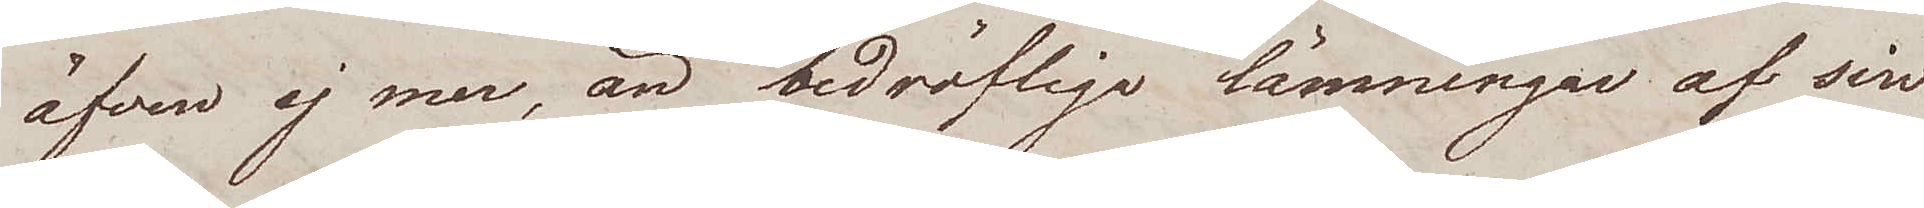äfven ej mer, än bedröfliga lämningar af sin
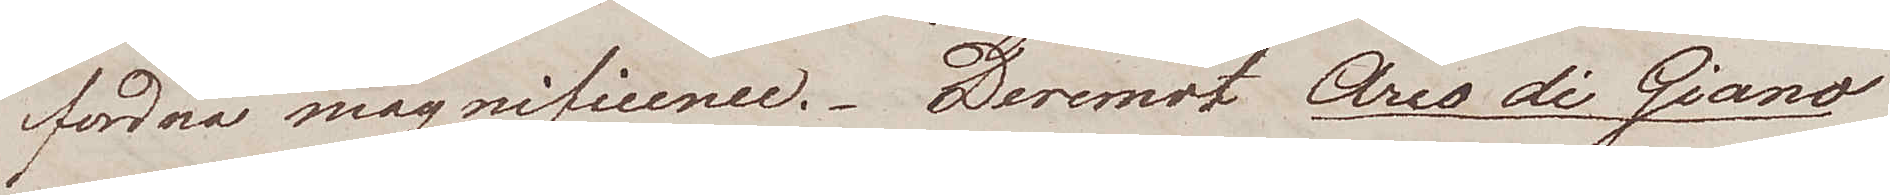fordna magnificence. Deremot Areo di Giano
